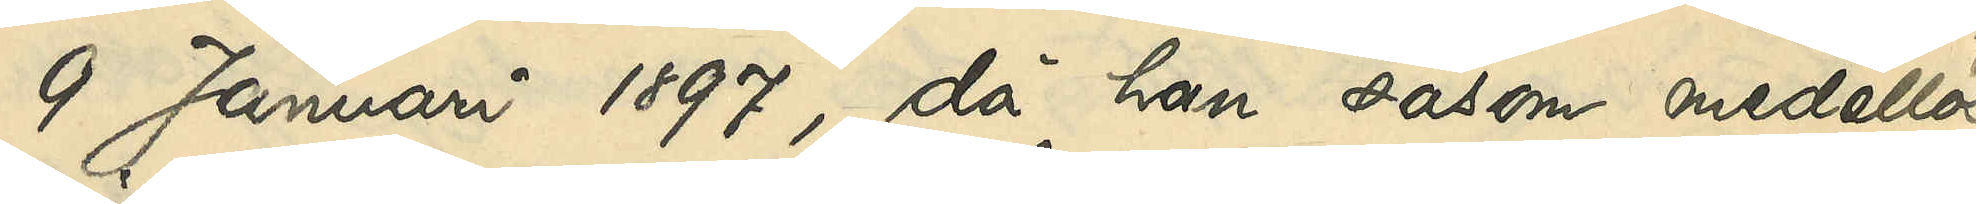9 Januari 1897, då han såsom medellös
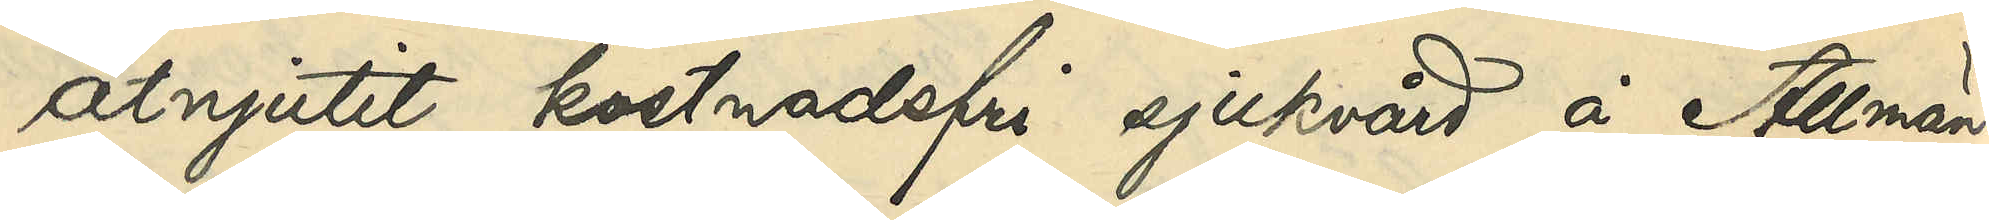åtnjutit kostnadsfri sjukvård å Allmän¬
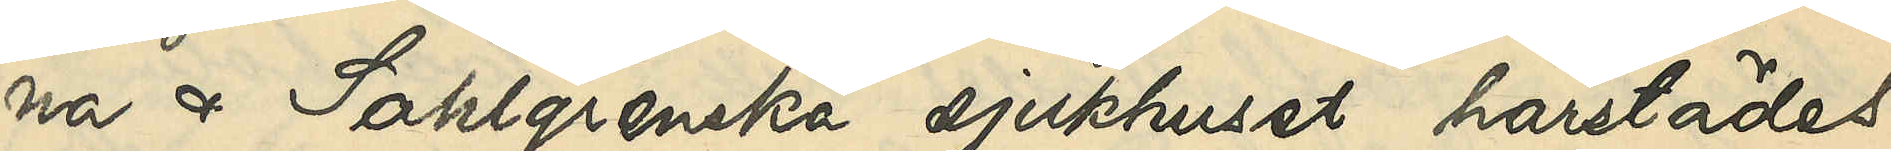na och Sahlgrenska sjukhuset härstädes -
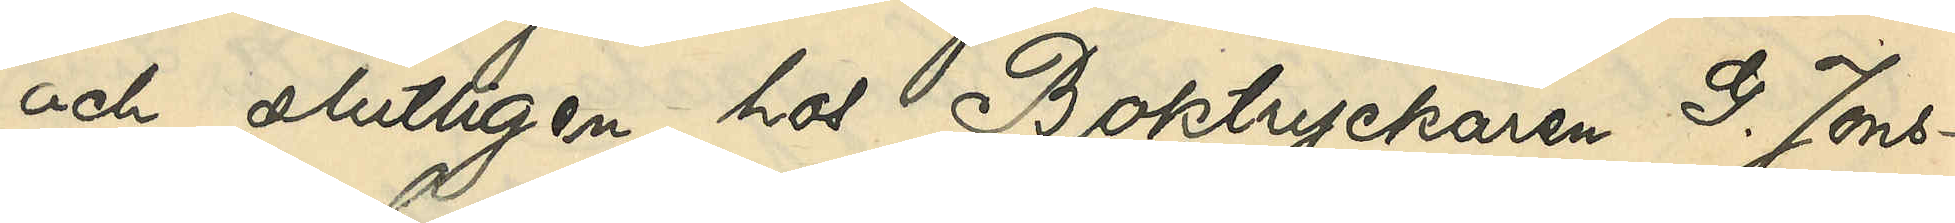och slutligen hos Boktryckaren G. Jons¬
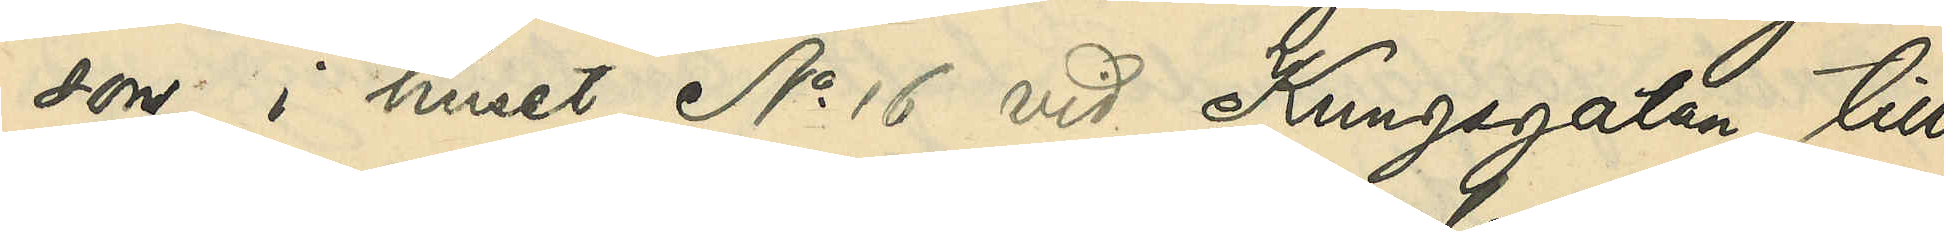son i huset No 16 vid Kungsgatan till
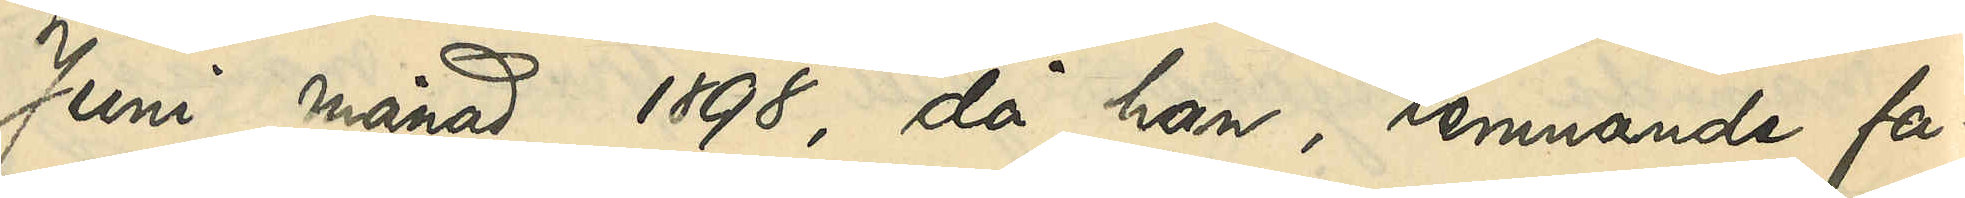Juni månad 1898, då han lemnande fa¬
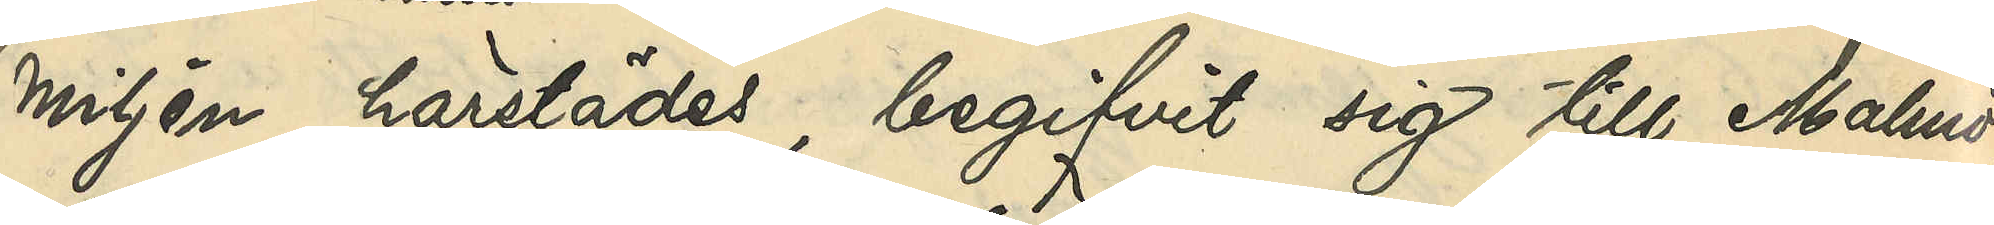miljen härstädes, begifvit sig till Malmö,
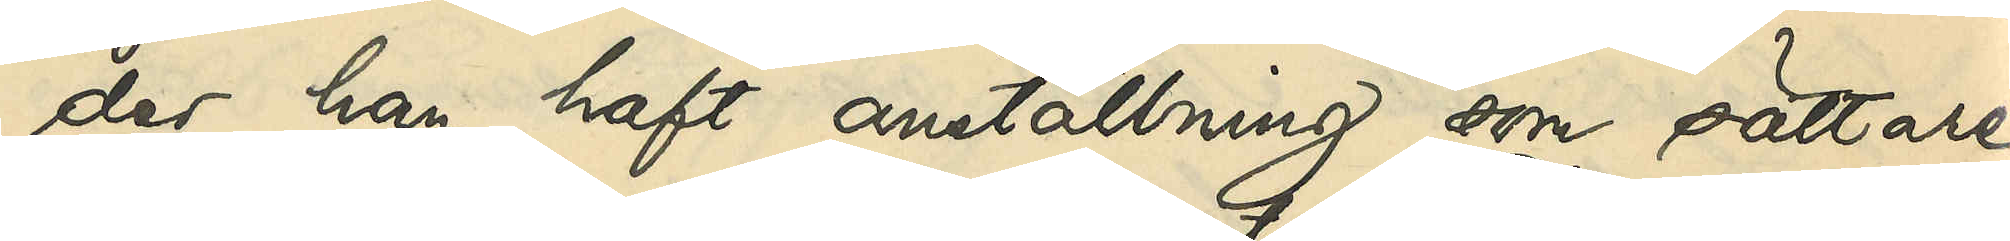der han haft anställning som sättare
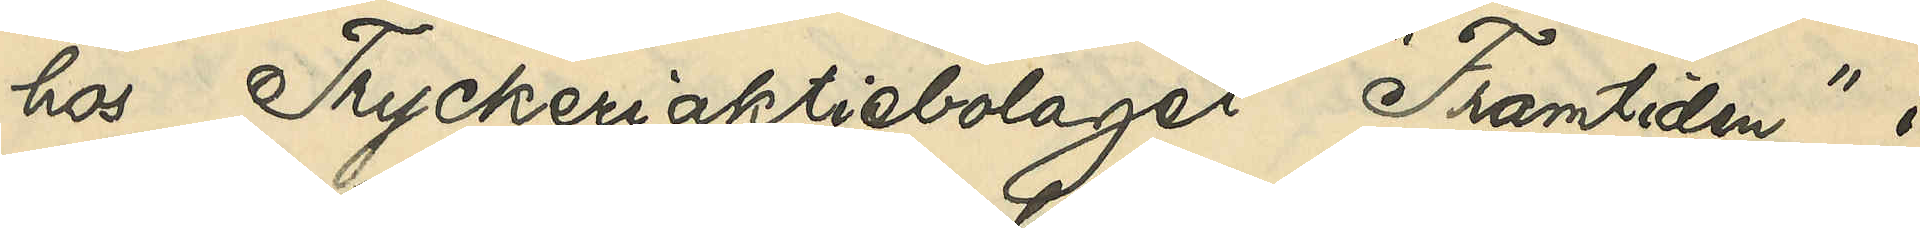hos Tryckeriaktiebolaget "Framtiden" i
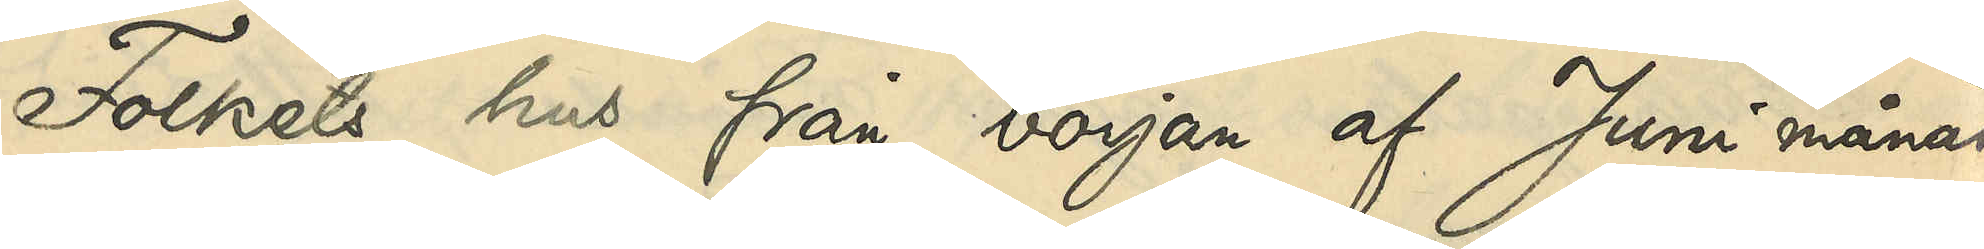Folkets hus från början af Juni månad
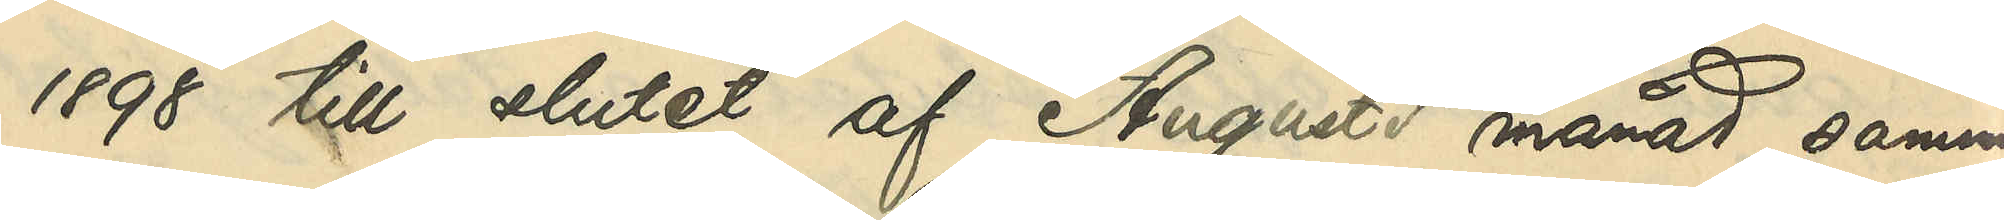1898 till slutet af Augusti månad samma
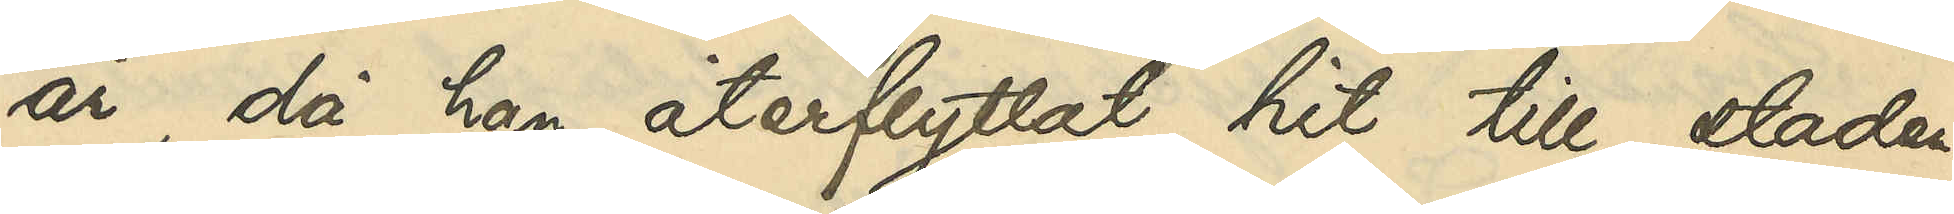år, då han återflyttat hit till staden,
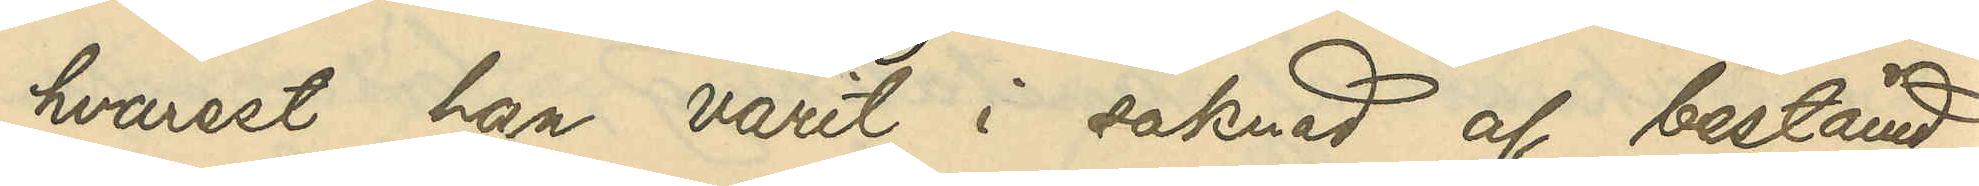hvarest han varit i saknad af bestämd
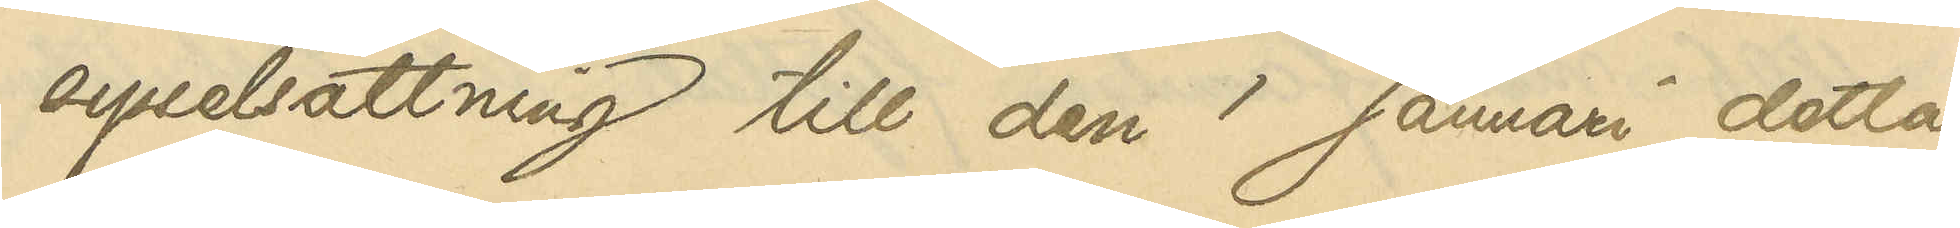sysselsättning till den 1 Januari detta
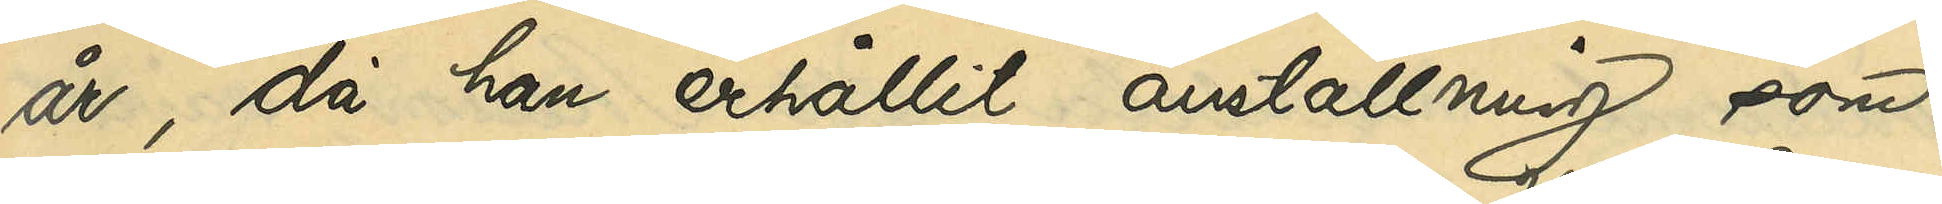år, då han erhållit anställning som
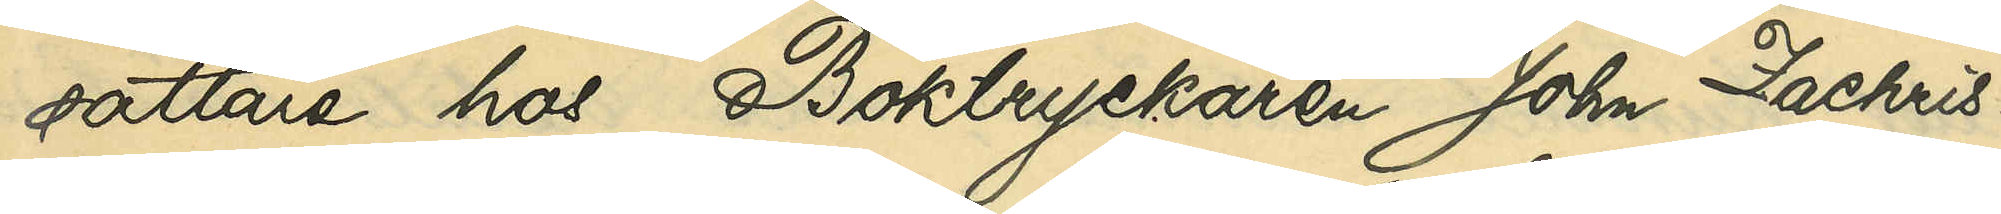sättare hos Boktryckaren John Zachris¬
